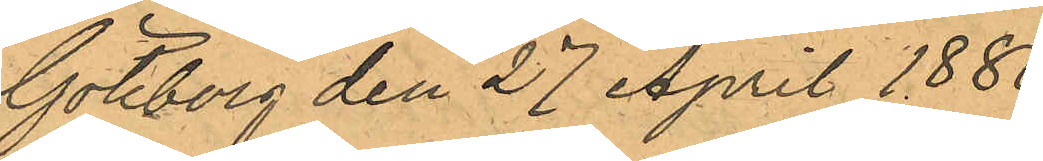Göteborg den 27 April 1880.
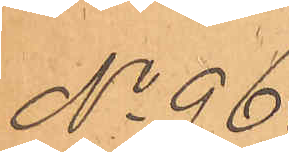No 96.
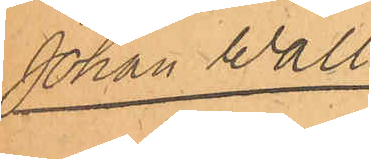Johan Wall.
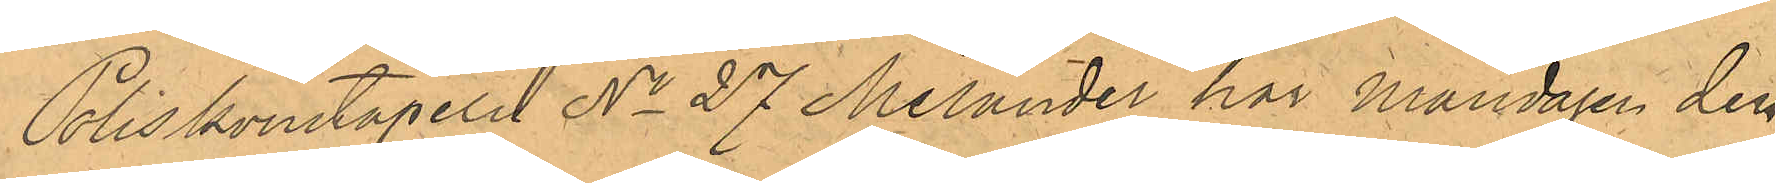Poliskonstapeln No 27 Melander har Måndagen den
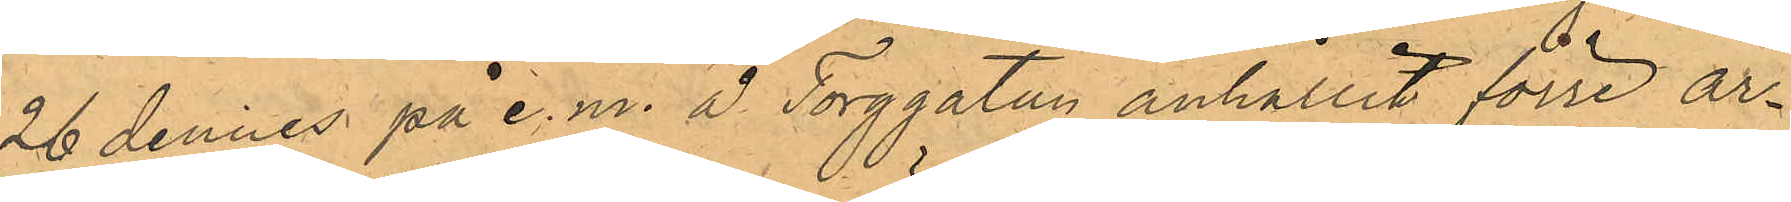26 dennes på e.m. å Torggatan anhållit förre ar¬
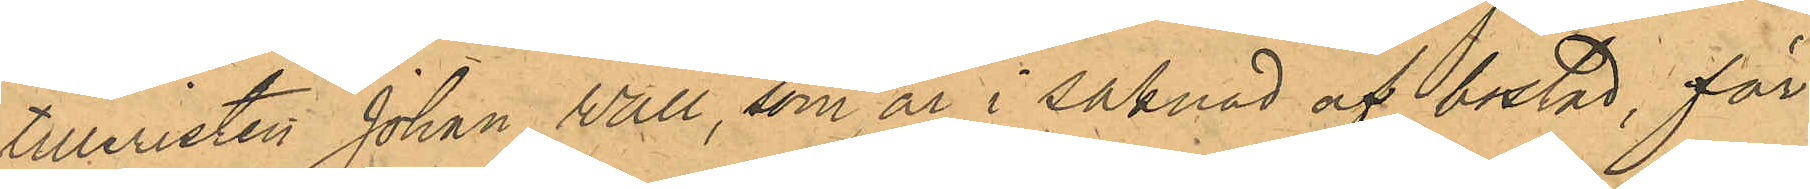tilleristen Johan Wall, som är i saknad af bostad, för
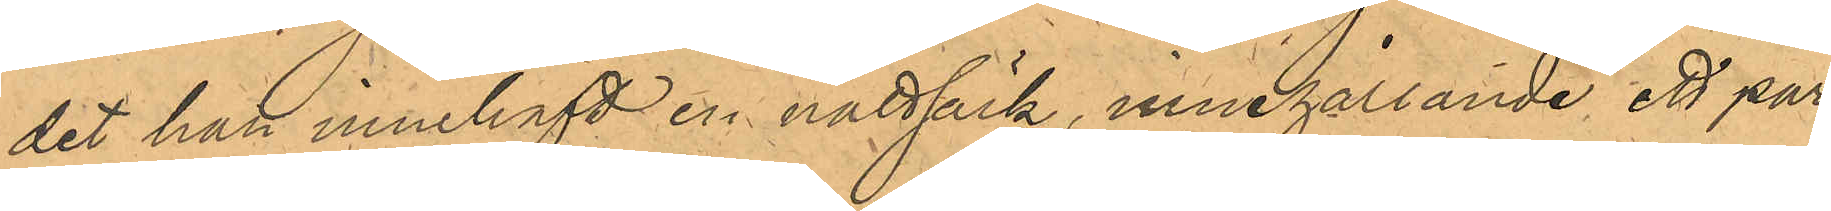det han innehaft en nattsäck, innehållande ett par
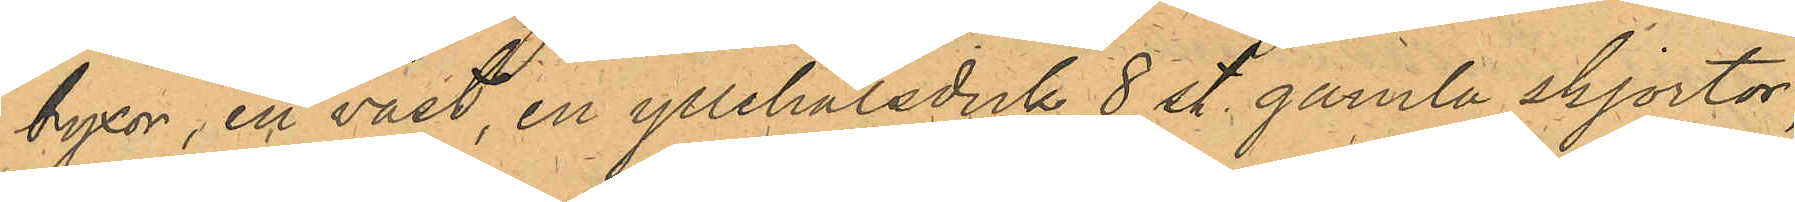byxor, en väst, en yllehalsduk 8 st. gamla skjortor,
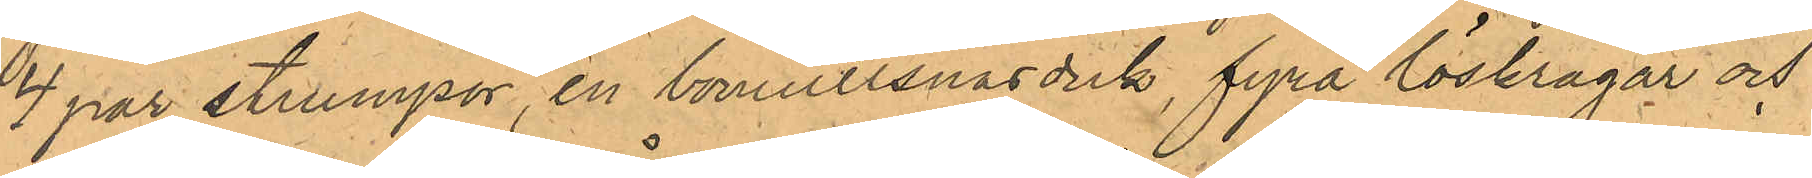4 par strumpor, en bomullsnäsduk, fyra löskragar och
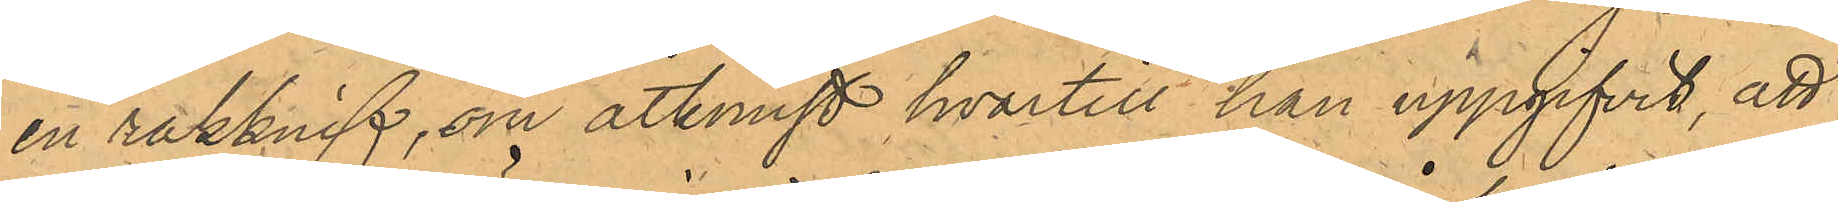en rakknif, om åtkomst hvartill han uppgifvit, att
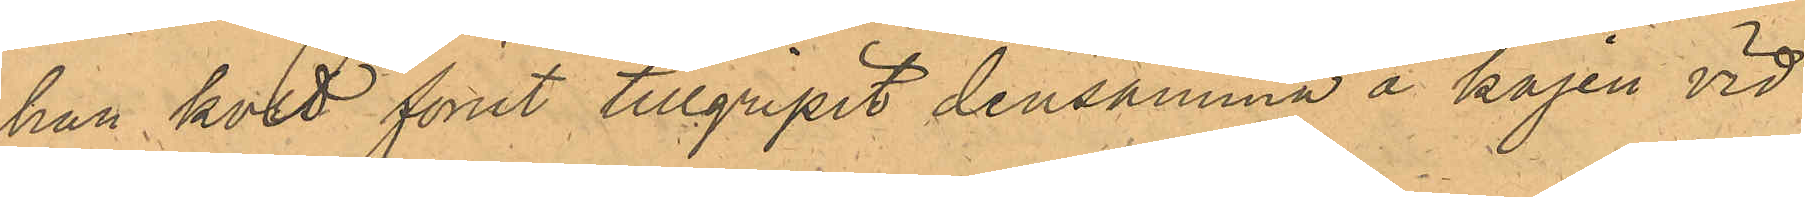han kort förut tillgripit densamma å kajen vid
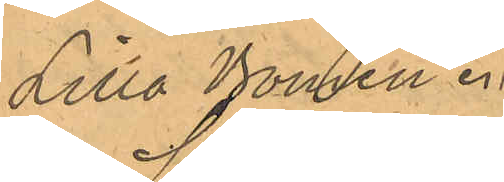Lilla Bomen.
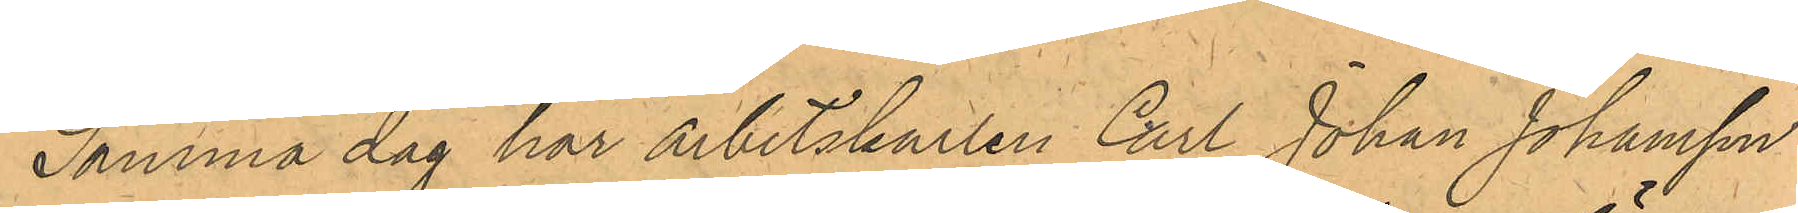Samma dag har arbetskarlen Carl Johan Johansson
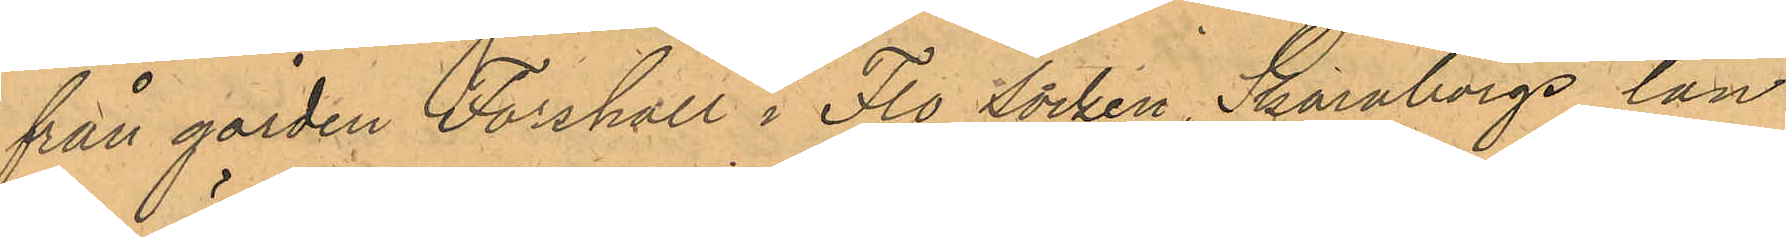från gården Forshall i Flo Socken, Skaraborgs län
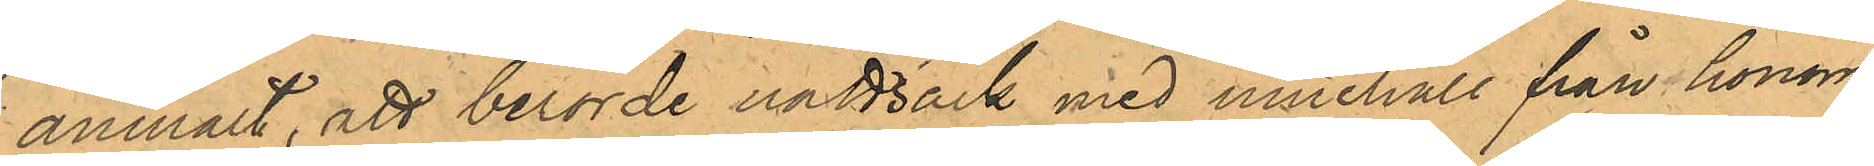anmält, att berörde nattäck med innehåll från honom
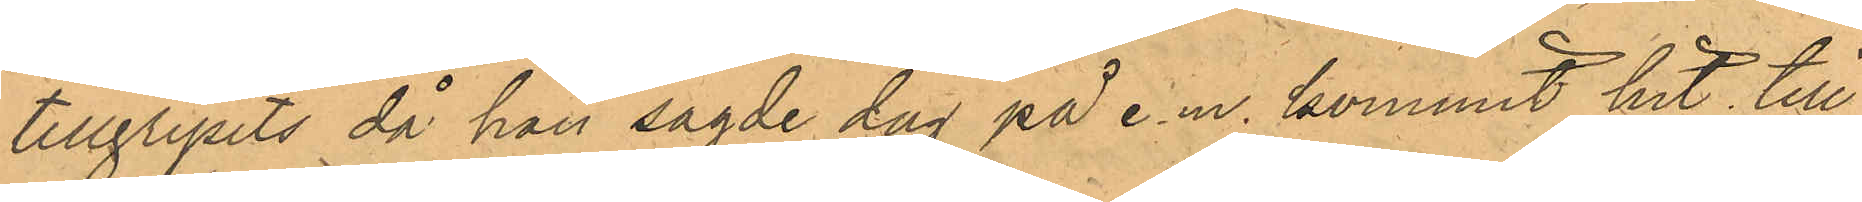tillgripits då han sagde dag på e.m. kommit hit till
